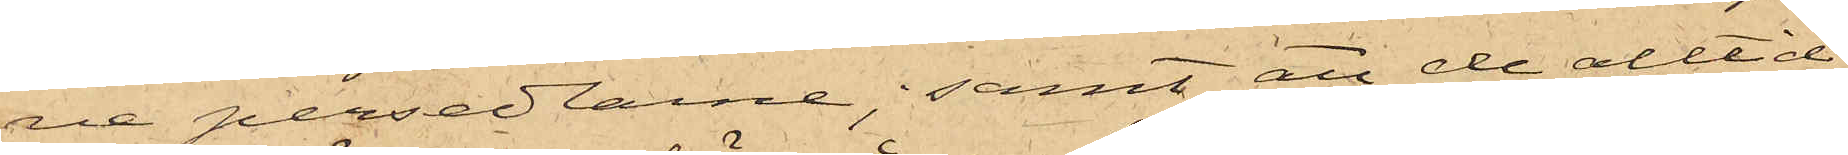ne persedlarne; samt att de alltid
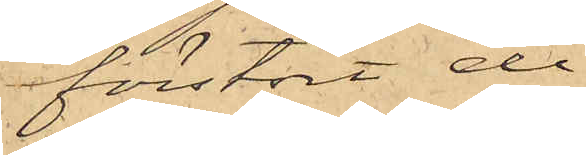förstört de
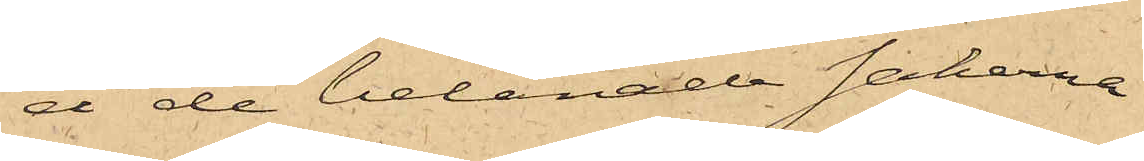å de belånade sakerna
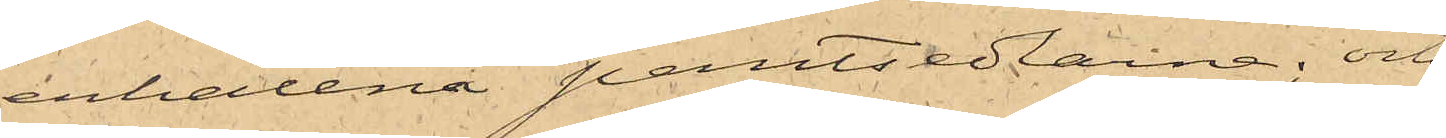erhållna pantsedlarna; och
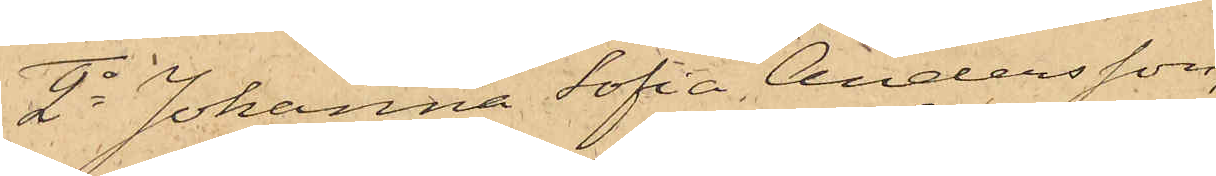2o Johanna Sofia Andersson,
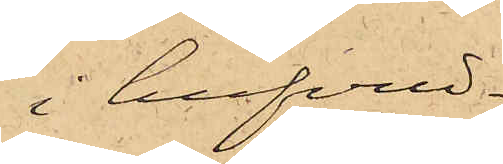i hufvud¬
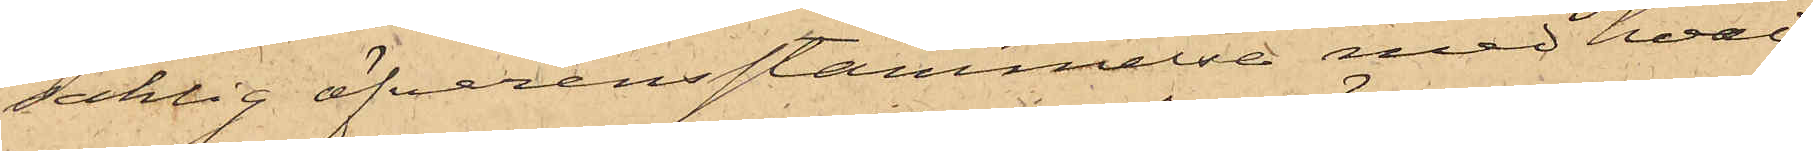saklig öfverensstämmelse med hvad
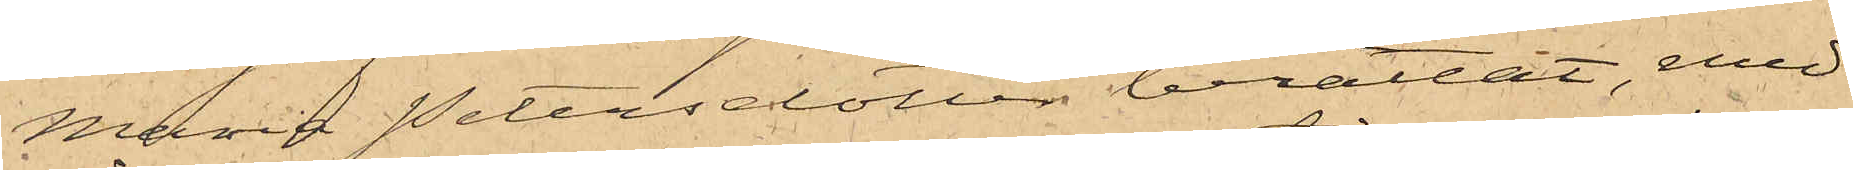Maria Petersdotter berättat, med
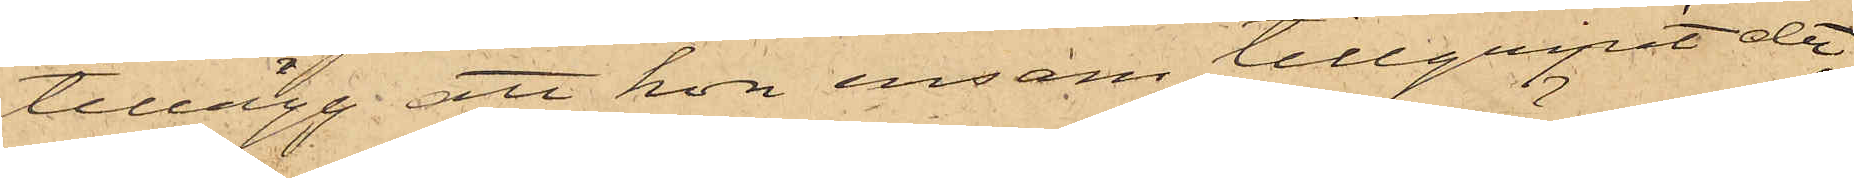tillägg, att hon ensam tillgripit de
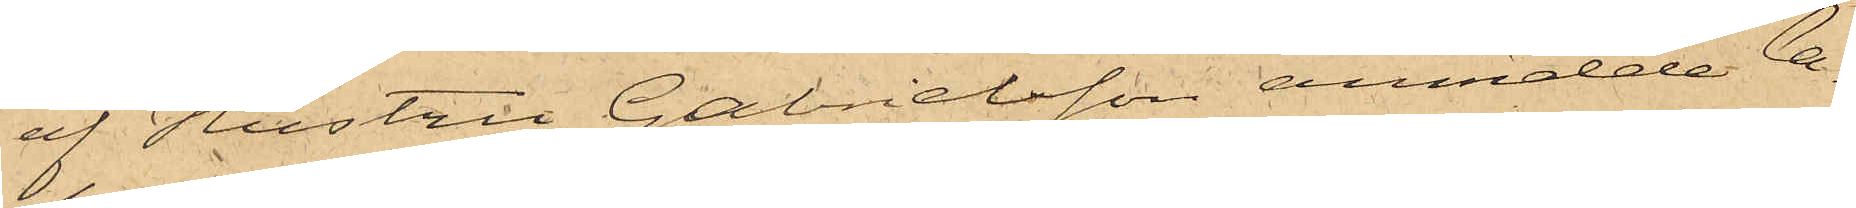af Hustru Gabrielsson anmälde la¬
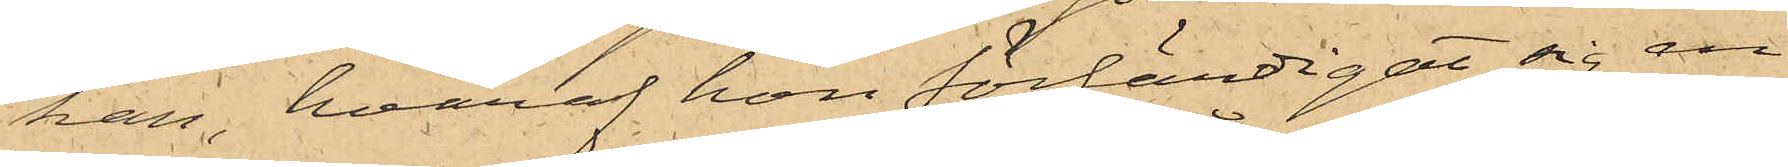kan, hvaraf hon förfärdigat sig en
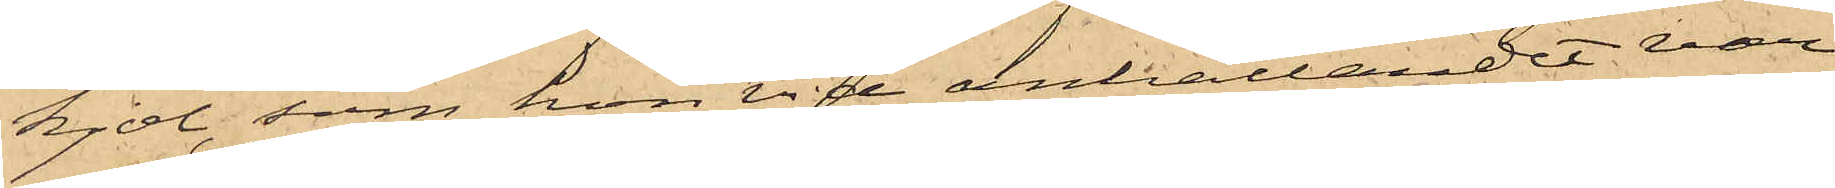kjol, som hon vid anhållandet var
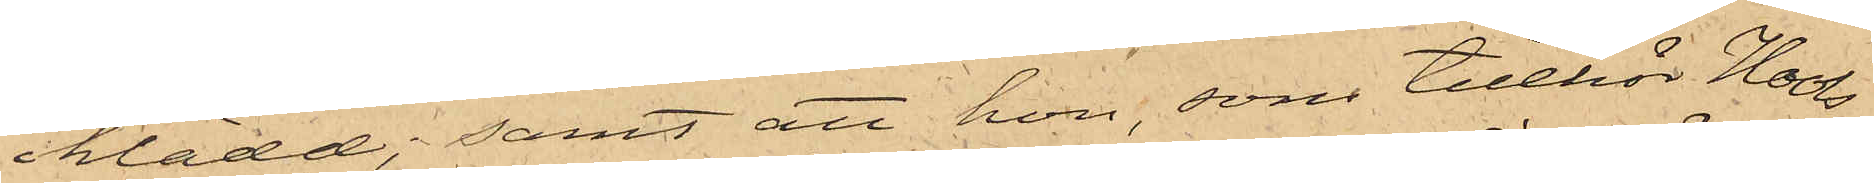iklädd; samt att hon, som tillhör Hools
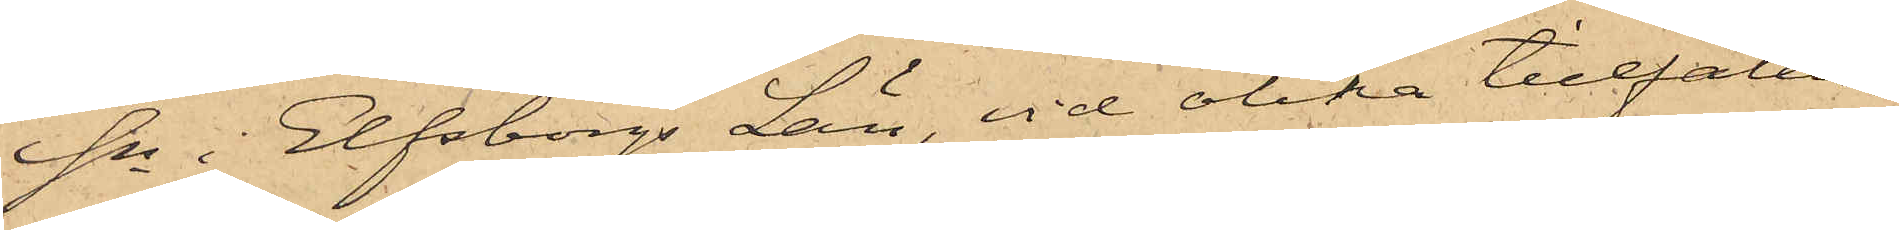Sn i Elfsborgs Län, vid olika tillfällen
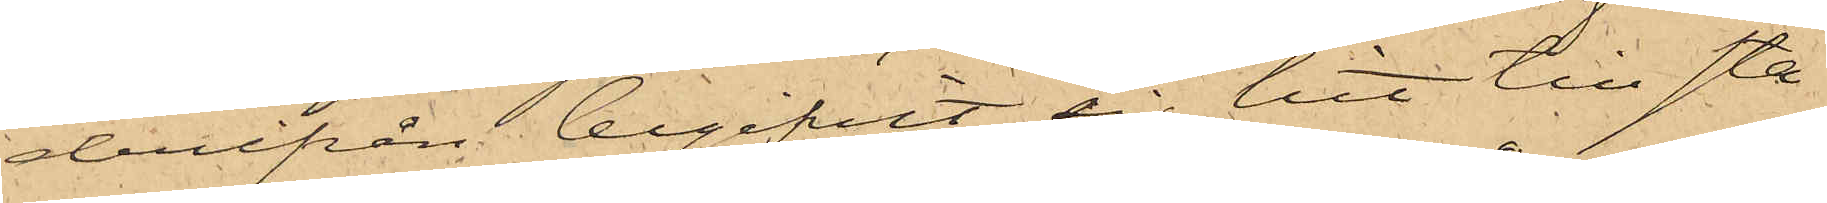derifrån begifvit sig hit till sta¬
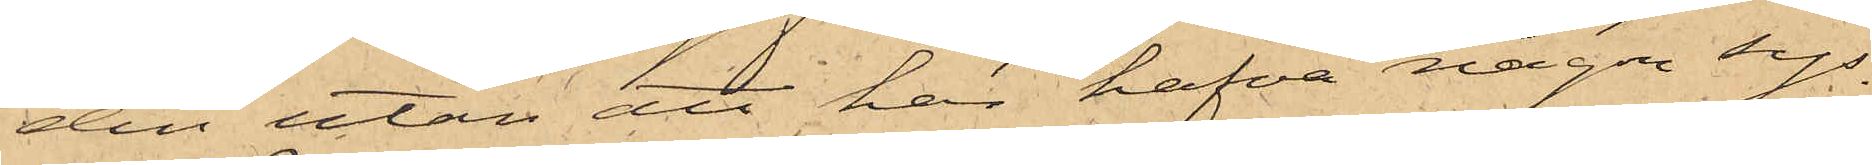den utan att här hafva någon sys¬
